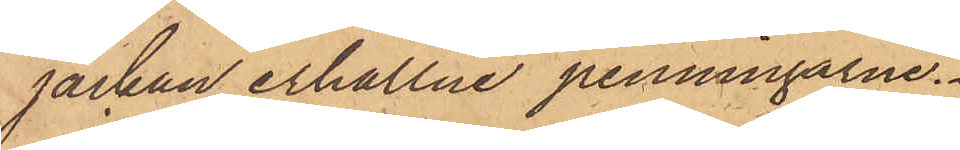jackan erhållne penningarne.
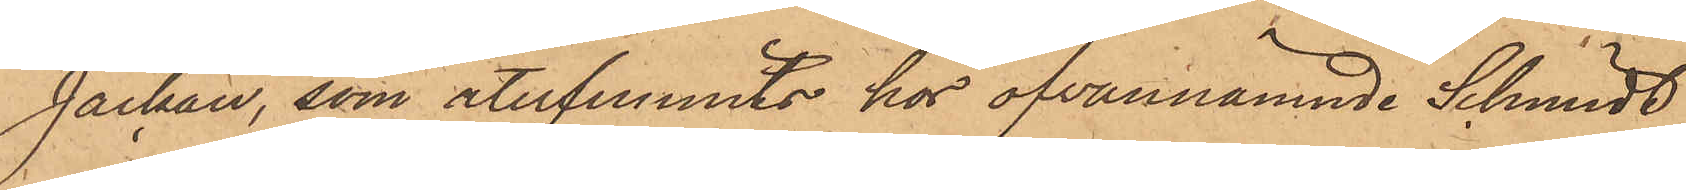Jackan, som återfunnits hos ofvannämnde Schmidt,
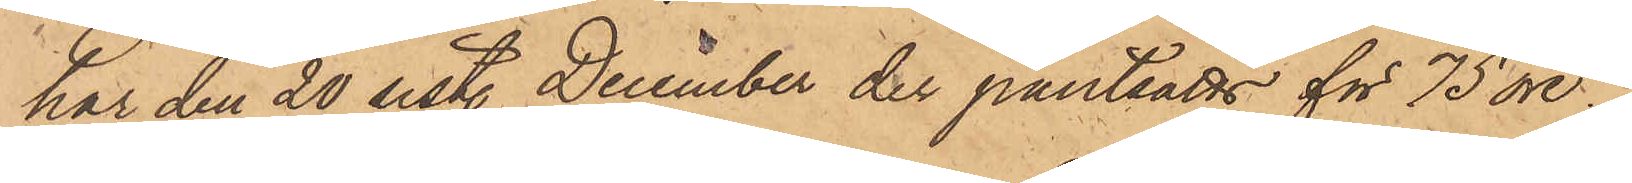har den 20 sistl. December der pantsatts för 75 öre.
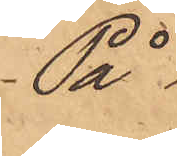På
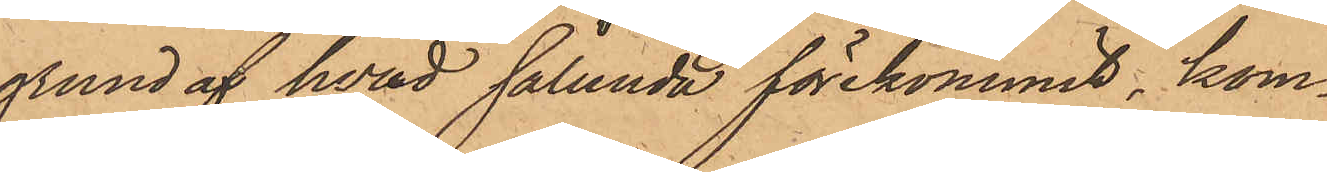grund af hvad sålunda förekommit, kom¬
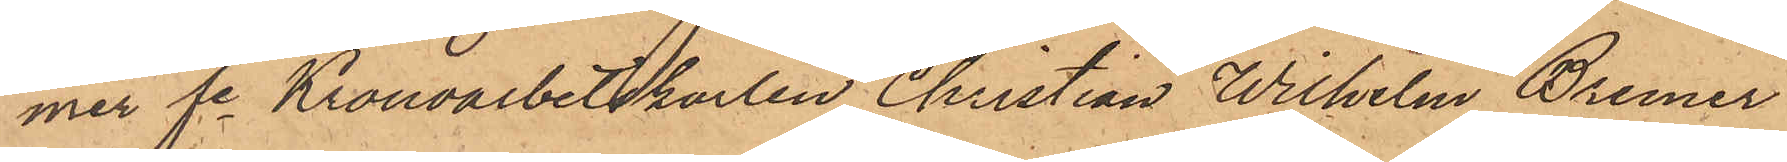mer fe Kronoarbetskarlen Christian Wilhelm Bremer
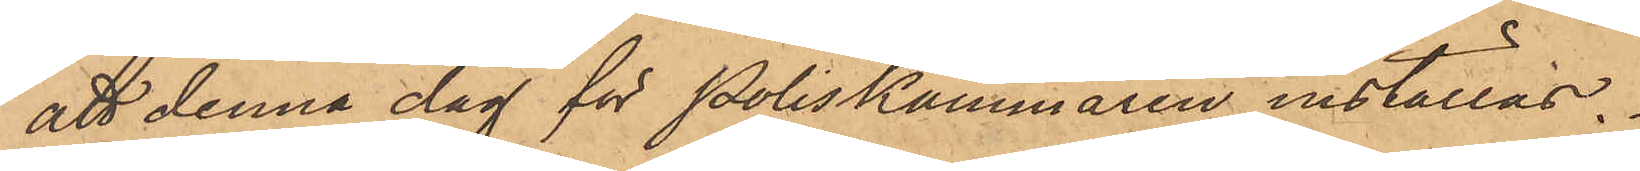att denna dag för Poliskammaren inställas.
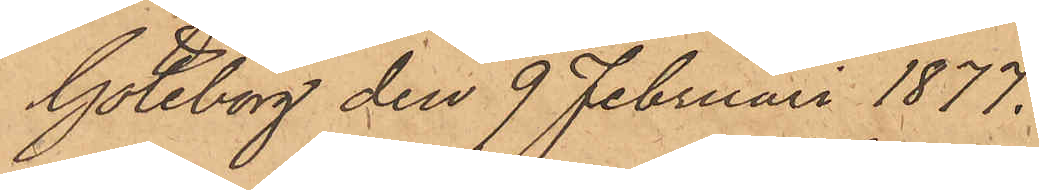Göteborg den 9 Februari 1877.
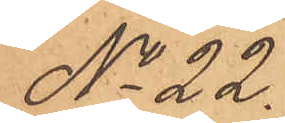No 22.
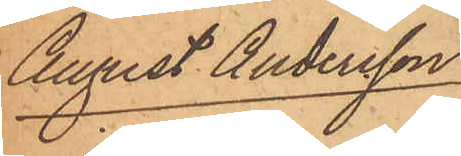August Andersson
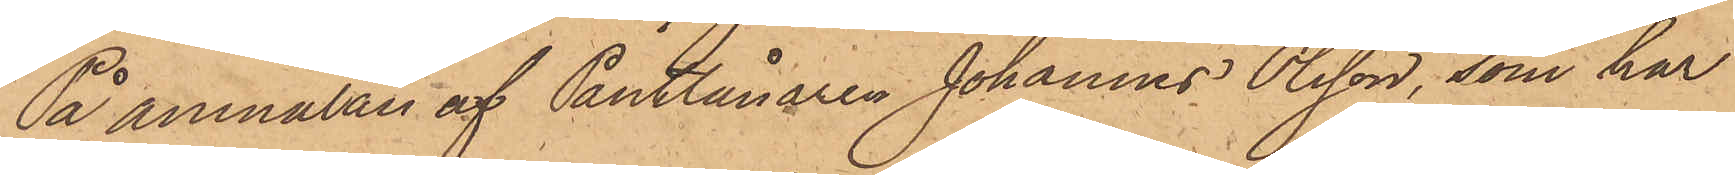På anmälan af Pantlånaren Johannes Olsson, som har
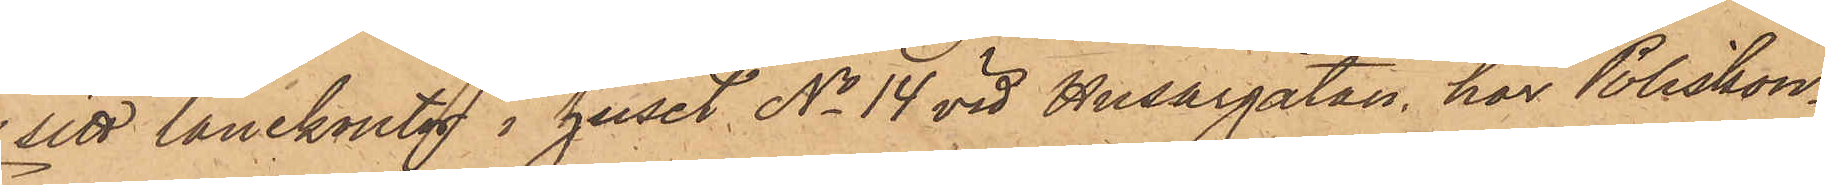sitt lånekontor i huset No 14 vid Husargatan, har Poliskon¬
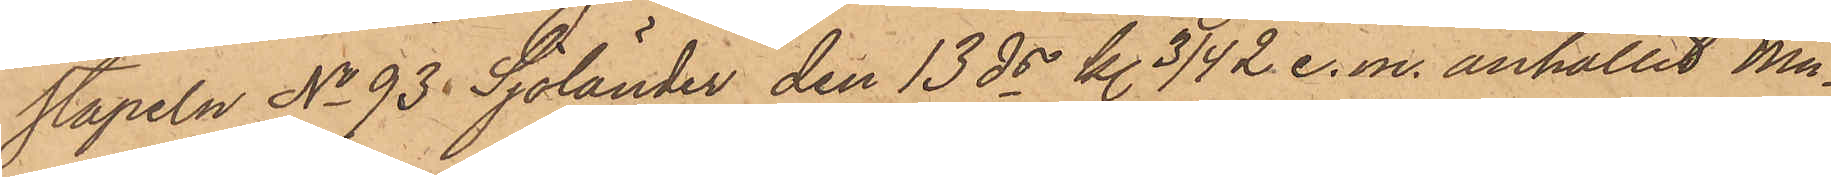stapeln No 93 Sjölander den 13 ds kl. 3/4 2 e. m. anhållit Mu¬
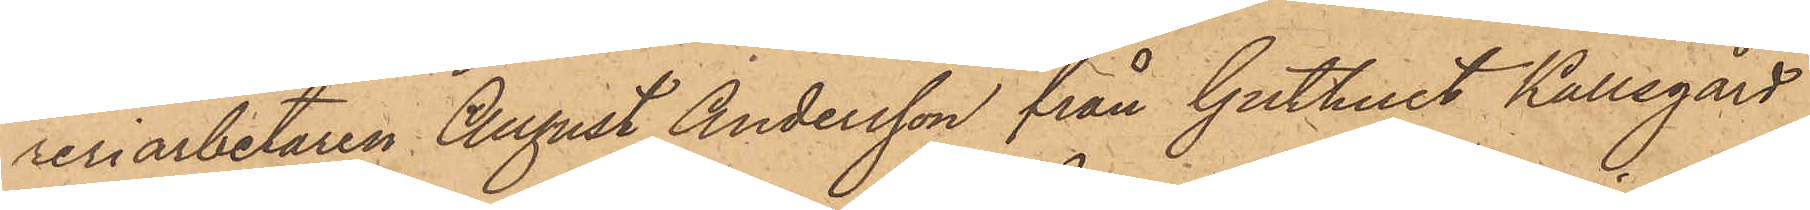reriarbetaren August Andersson från Guthult Kallegård
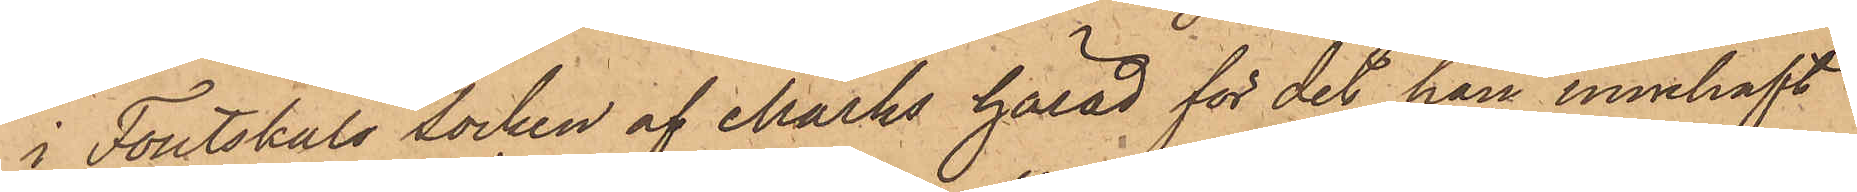i Foutskäls socken af Marks härad för det han innehaft
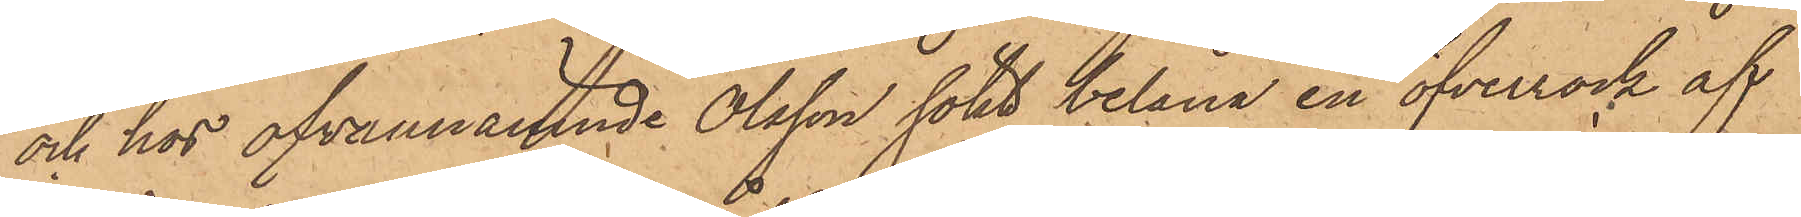och hos ofvannämnde Olsson sökt belåna en öfverrock af
